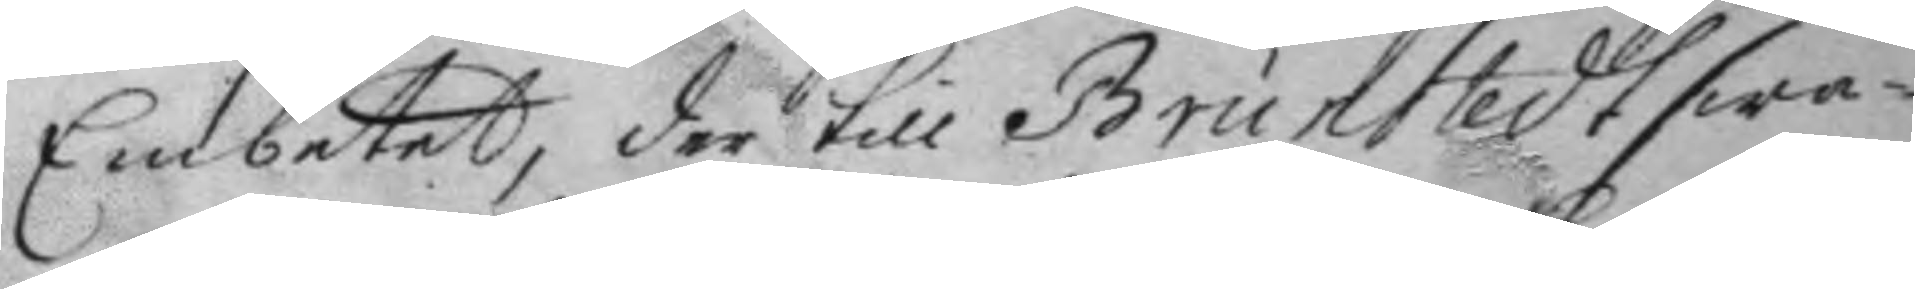Embetet, der till Brunstedt swa¬
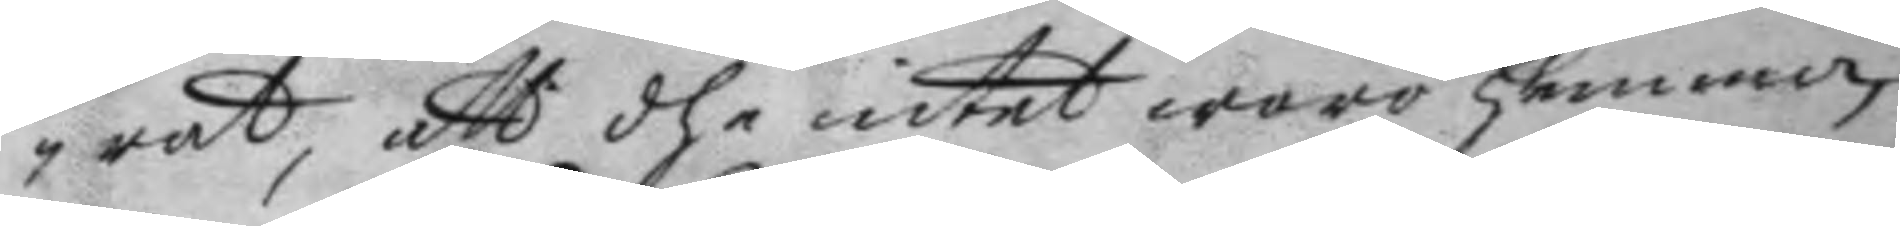rat, att dhe intet woro hemma,
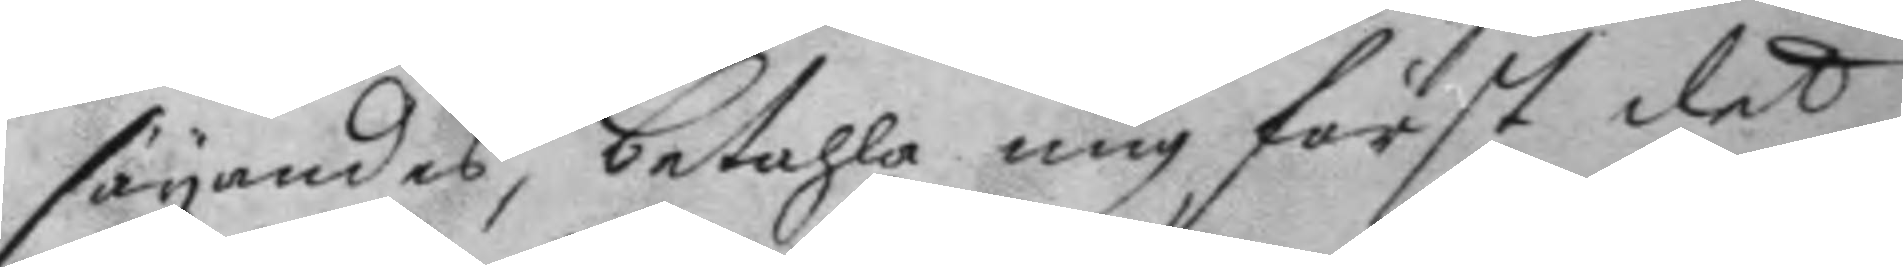säyandes, betahla mig först det
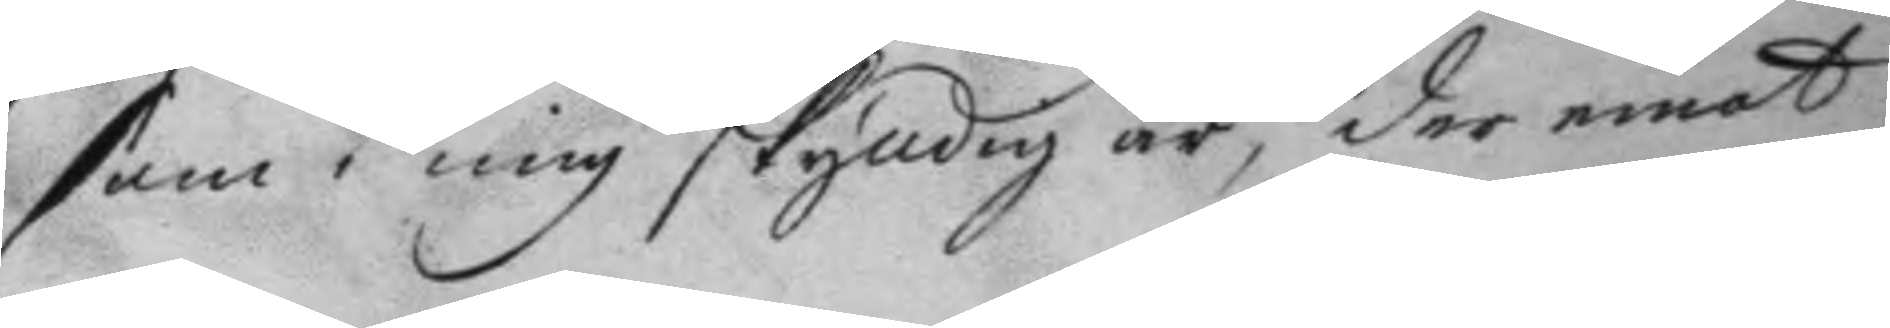som i mig skyldig är, der emot
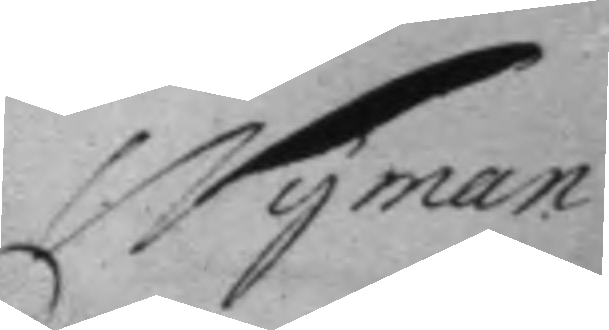Nyman
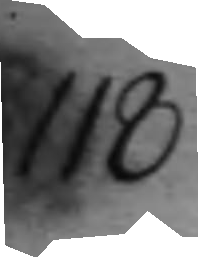118
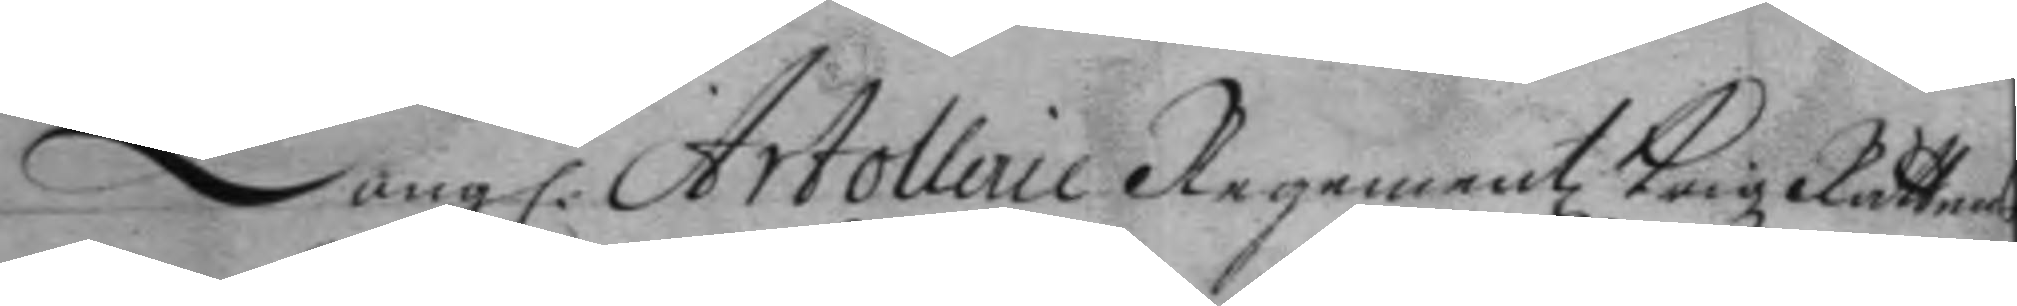Kong. Artollerie Regementz Krigz Rätten
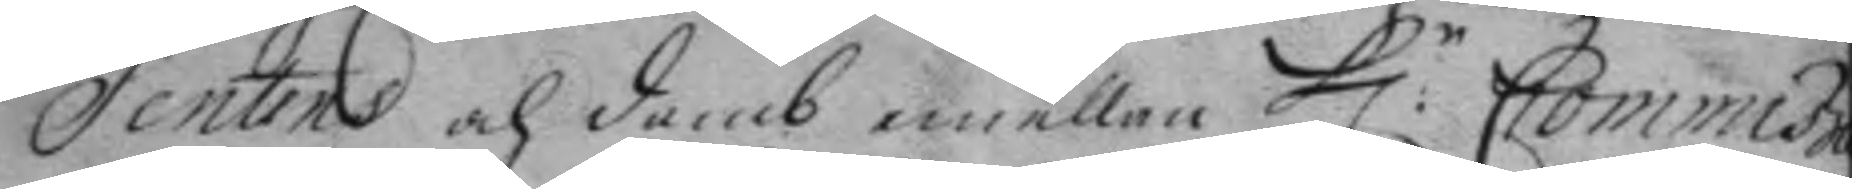Sentens och domb emellan H:r Commisa¬
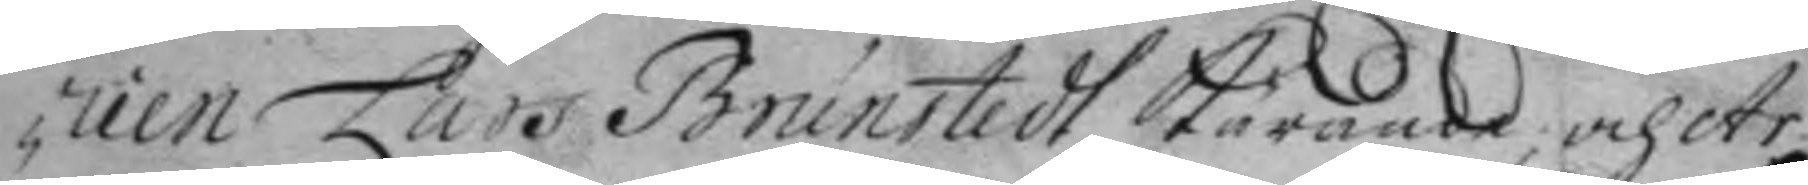rien Lars Brunstedt körande, och Ar¬
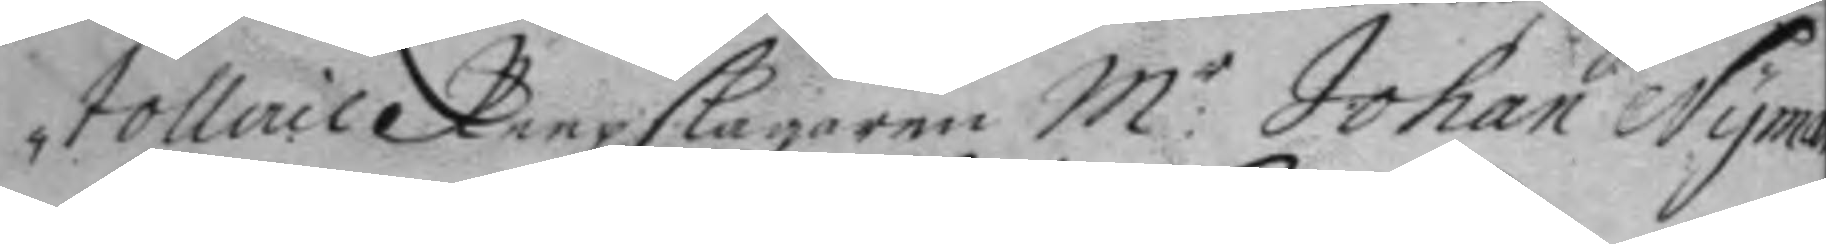tollerie Reepslagaren M:r Johan Nyman
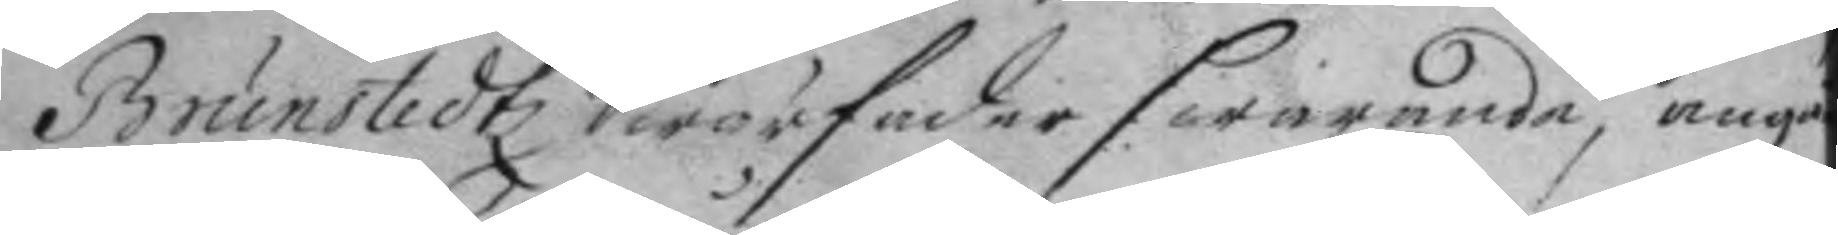Brunstedtz Swärfader swarande, angåe¬
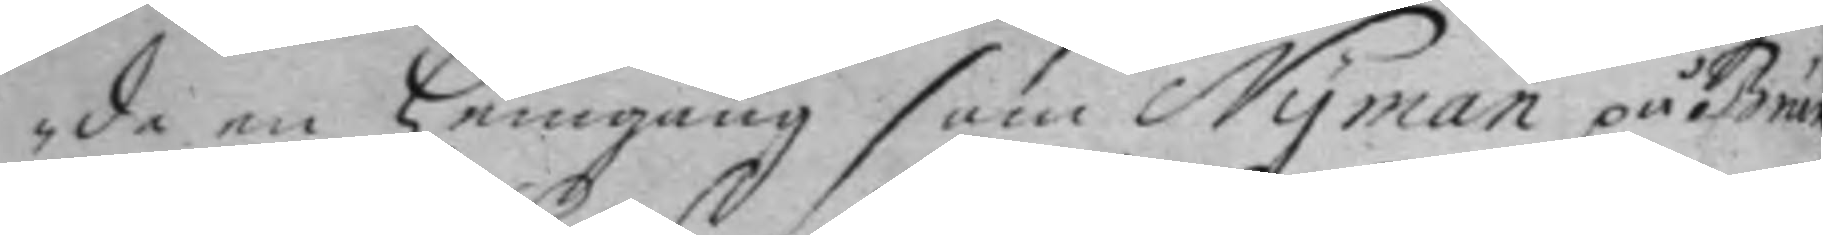de en hemgång som Nyman på Brun¬
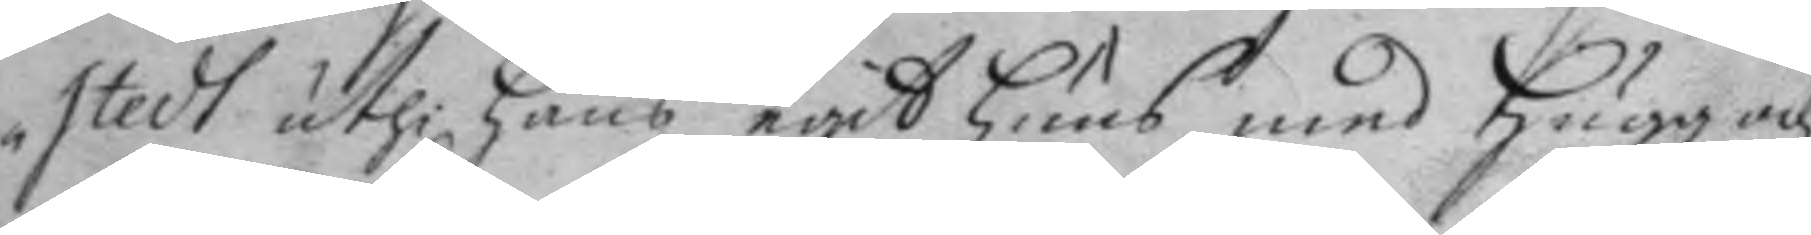stedt uthi hans egit huus med hugg och
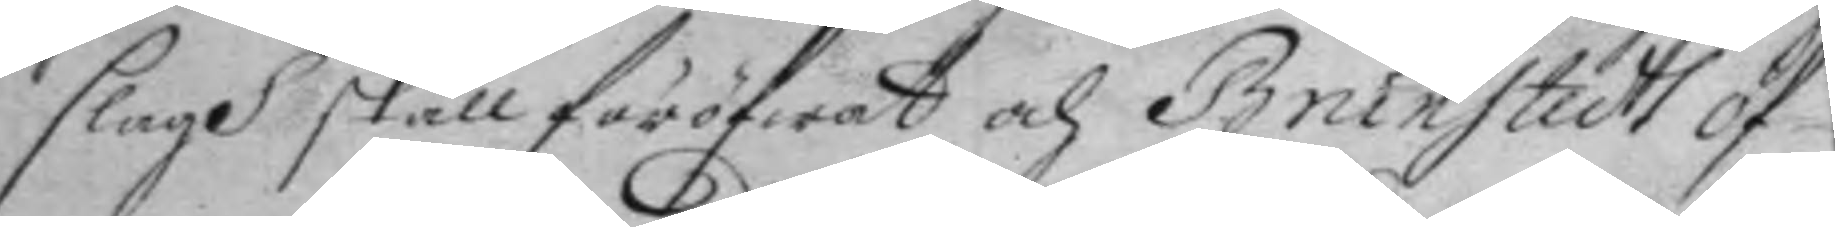slagh skall föröfwat och Brunstedt öf¬
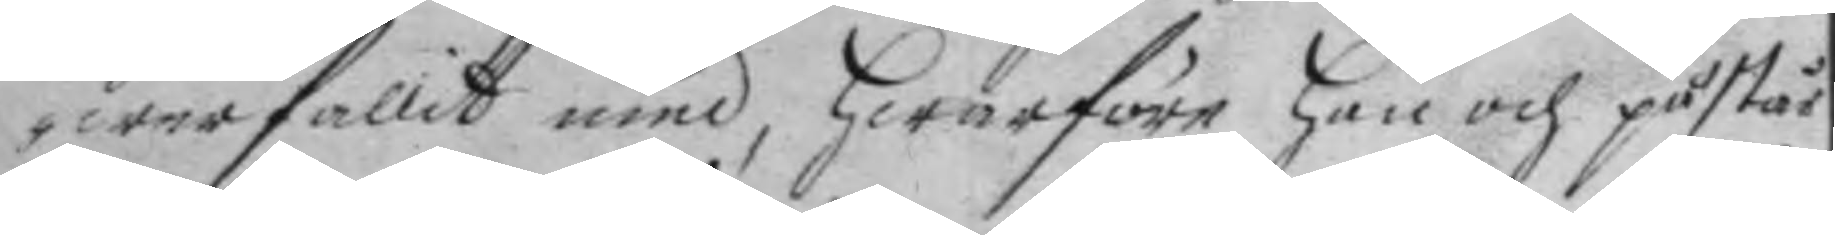wergallit med, hwarföre han och påstår
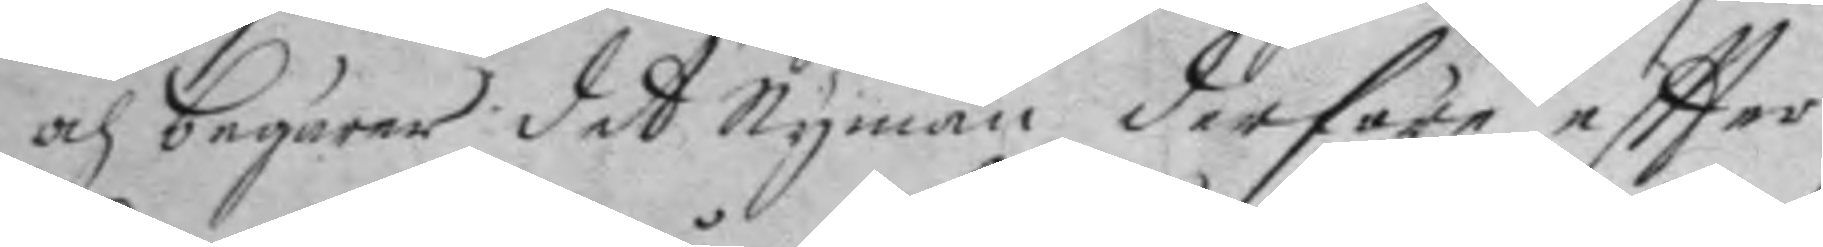och begärer det Nyman derföre eftter
